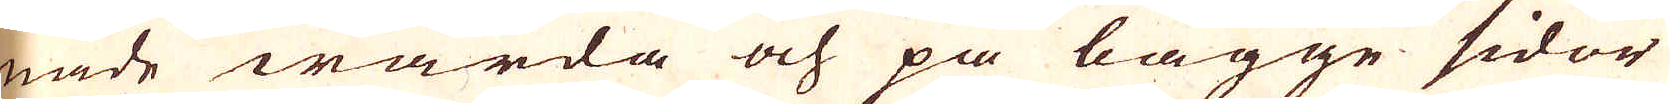nade warda och på bägge sidor
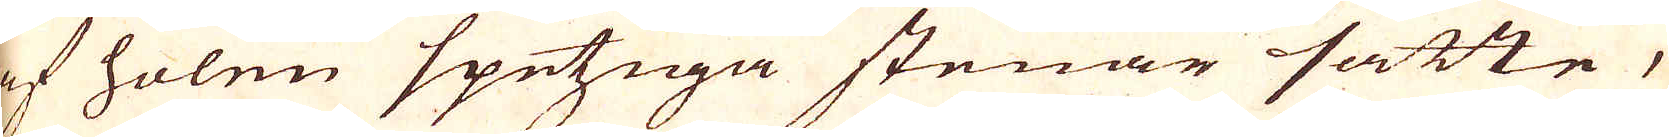af holen spetziga stenar satte,
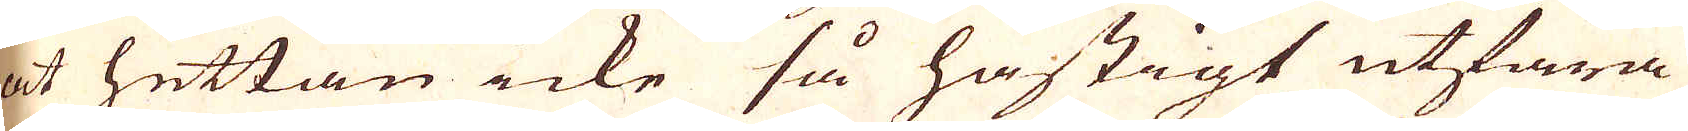at hettan icke så hastigt utfara
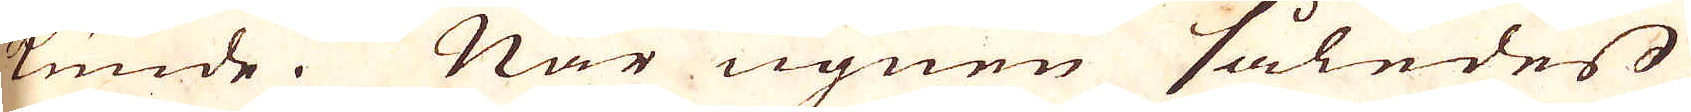kunde. När ugnen således
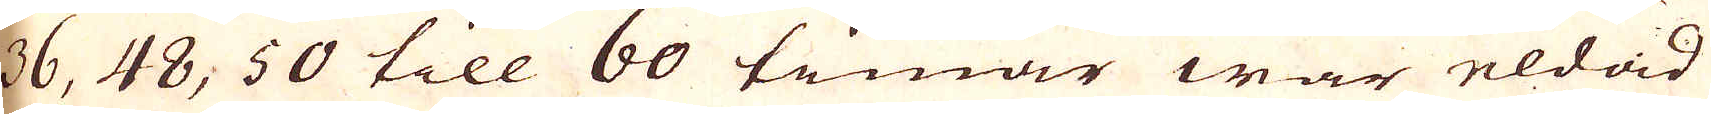36, 48, 50 till 60 timar war eldad
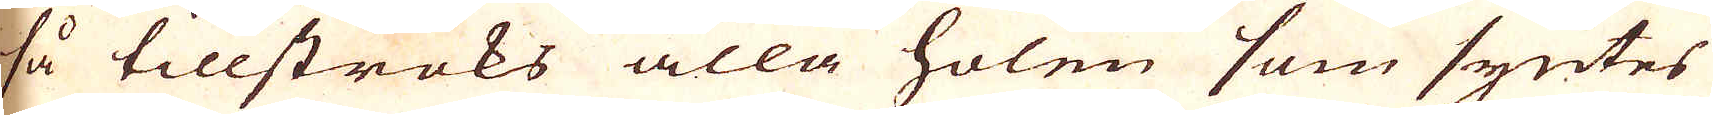så tillströks alla holen som syntes
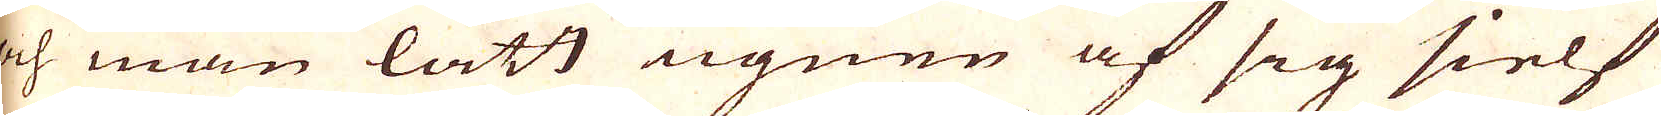och man lätt ugnen af sig sielf
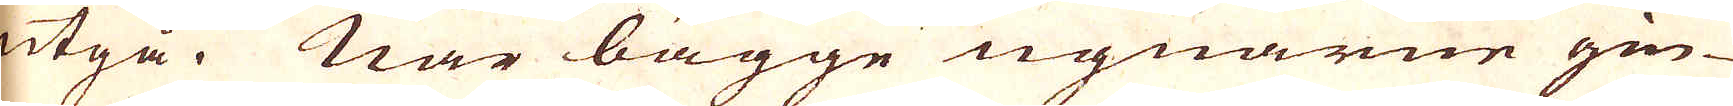utgå. När bägge ugnarne gin-
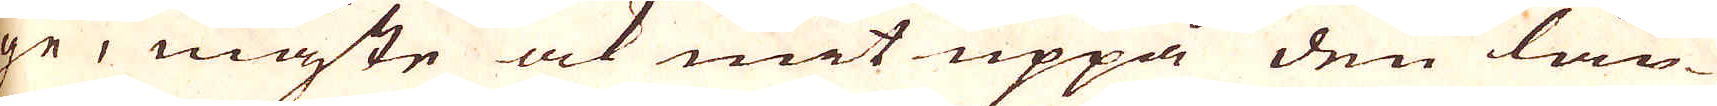ge, måste ock mit uppa den lån-
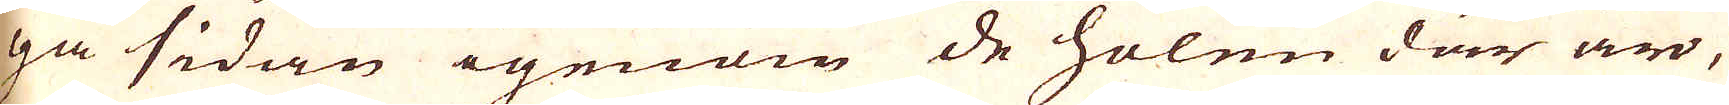ga sidan igenom de holen där äro,
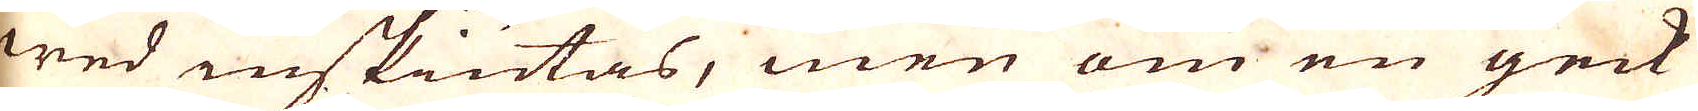wed inskiutas, men om en geck
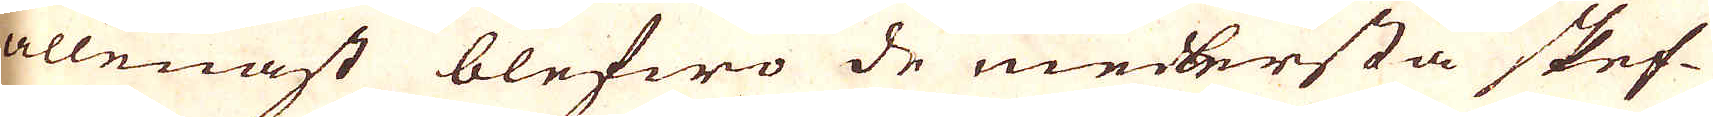allenast blefwo de meldersta skef-
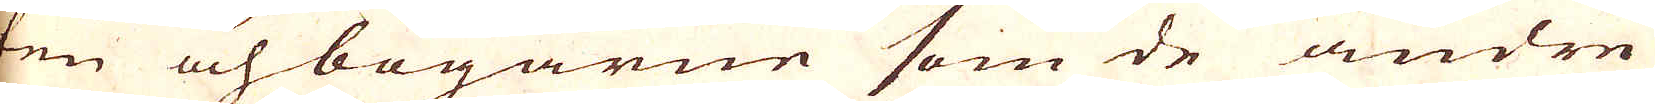ten och bogarne som de andre
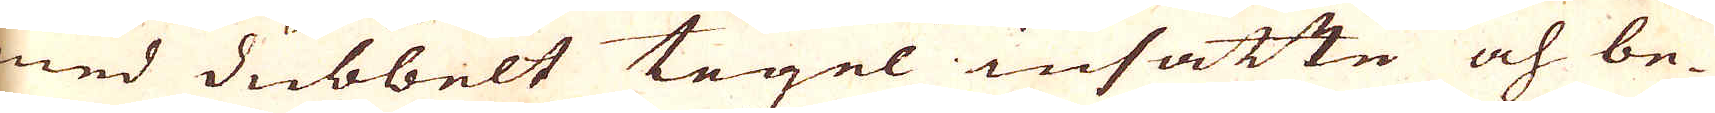med dubbelt tegel insatte och be-
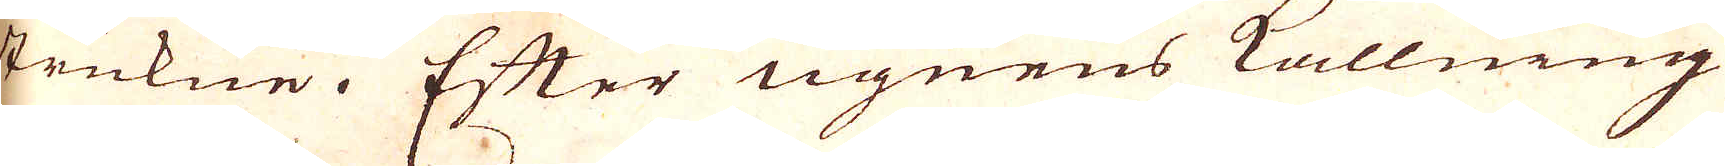stukne. Efter ugnens kallning
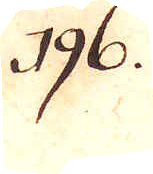196.
